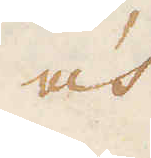och
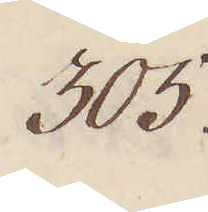305.
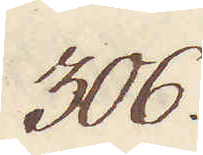306.
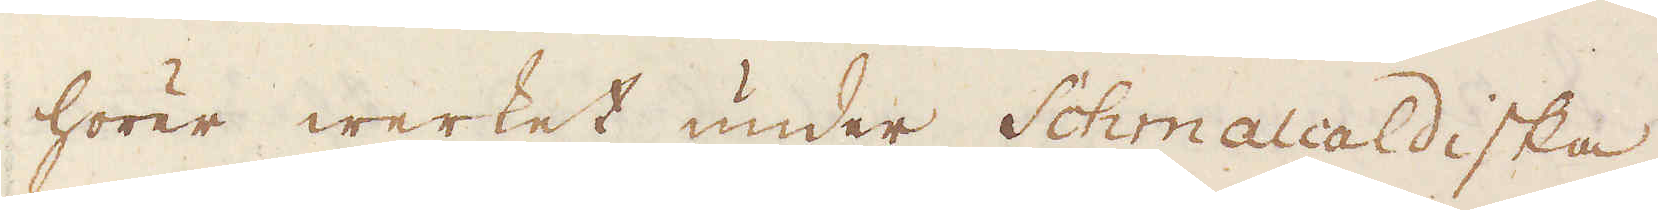hörer werket under Schmalcaldiska
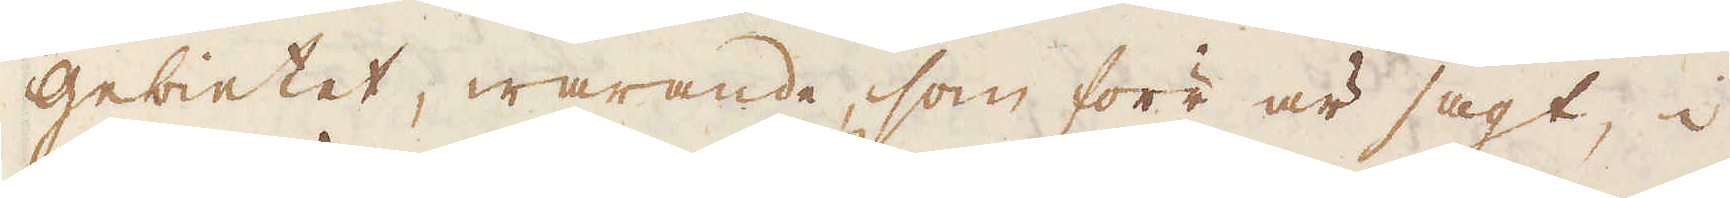Gebietet, warande, som förr är sagt, i
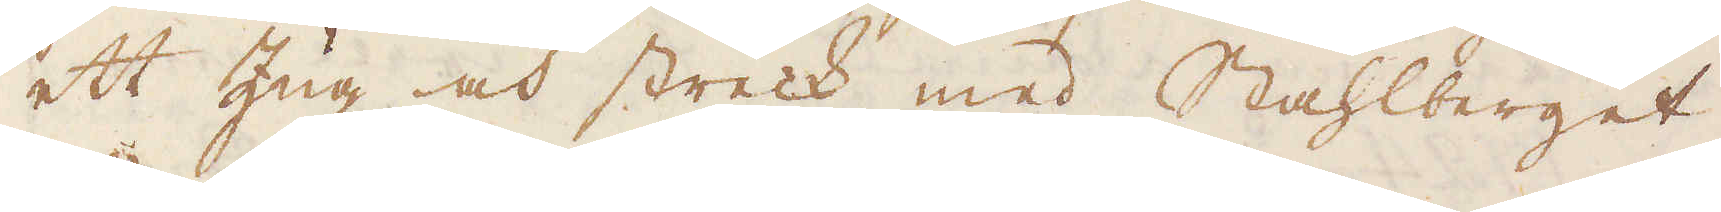ett Zug och streck med Stahlberget.
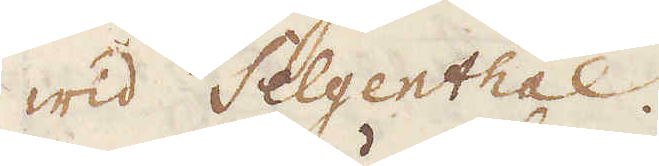wid Selgenthal.
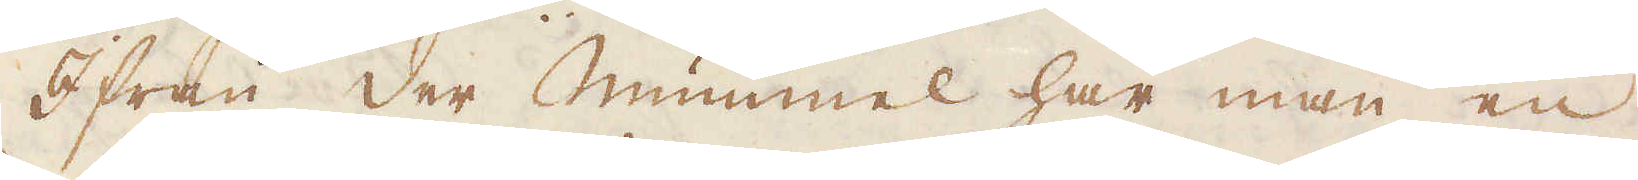Ifrån der mummel har man en
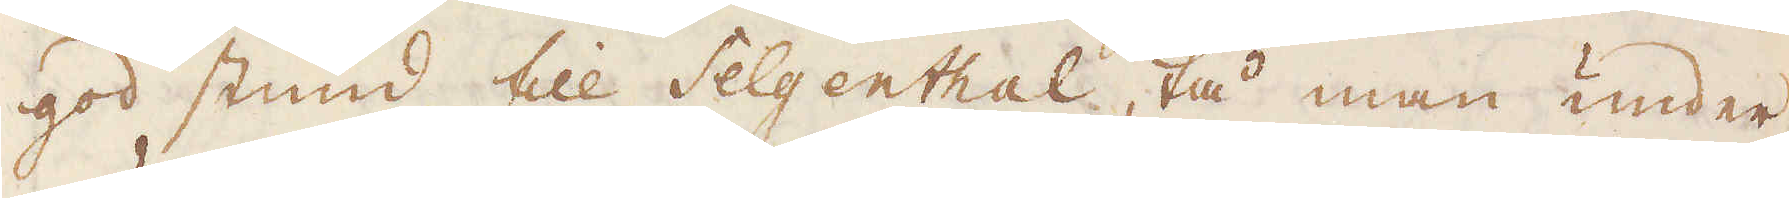god stund till Selgenthal, tå man under
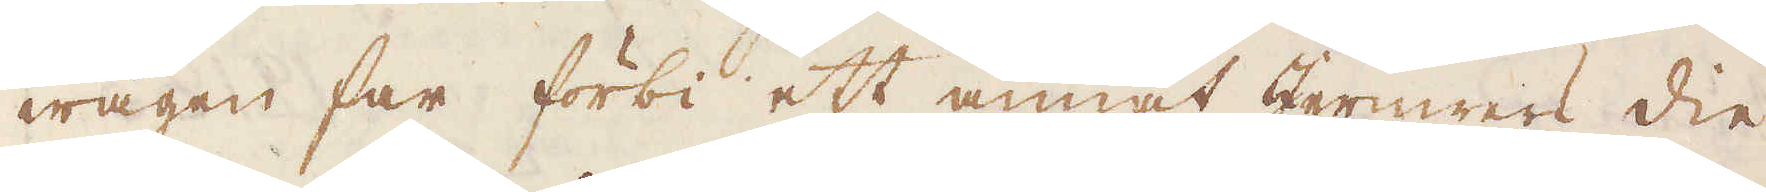wägen far förbi ett annat Jernwerk die
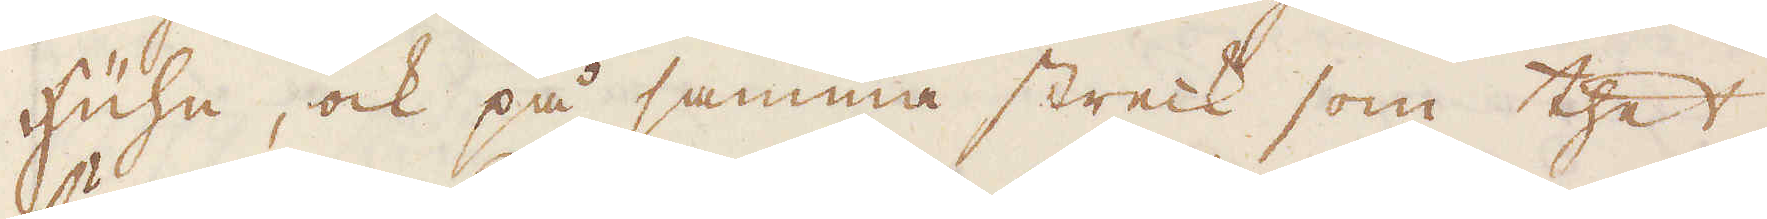Hühn, ock på samma streck som thet
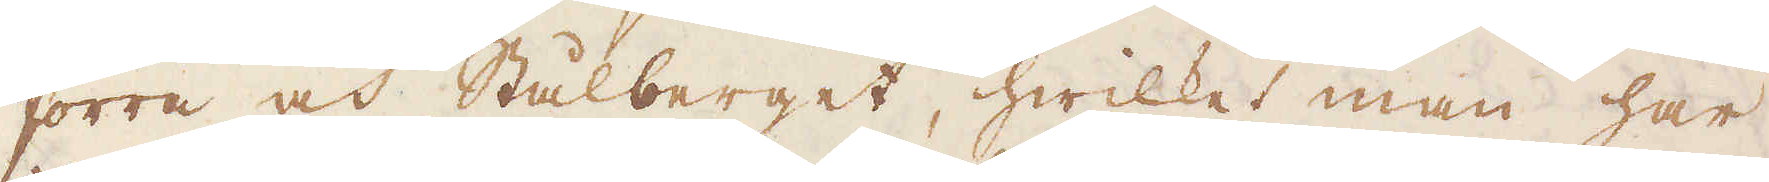förra och Stålberget, hwilket man har
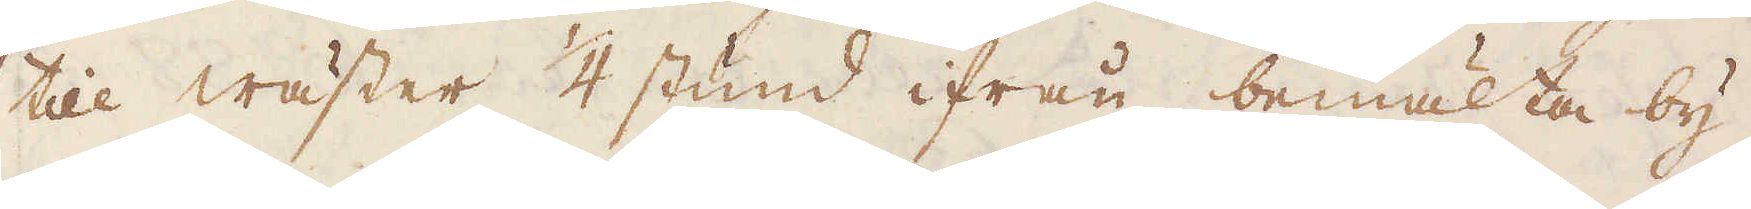till wäster 1/4 stund ifrån bemälta by.
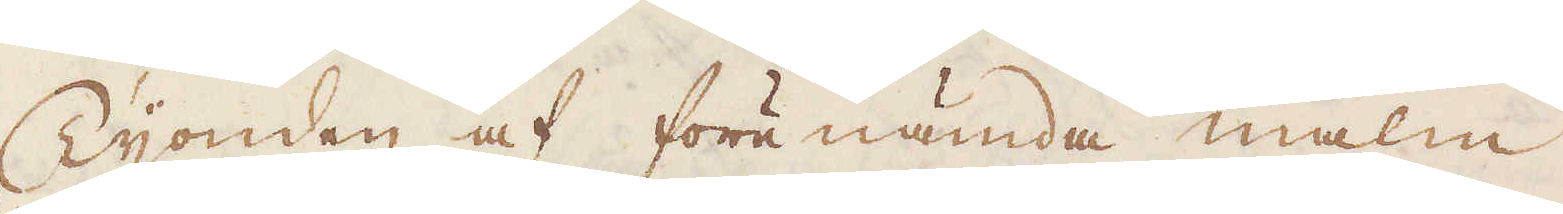Tijonden af förenämda malm
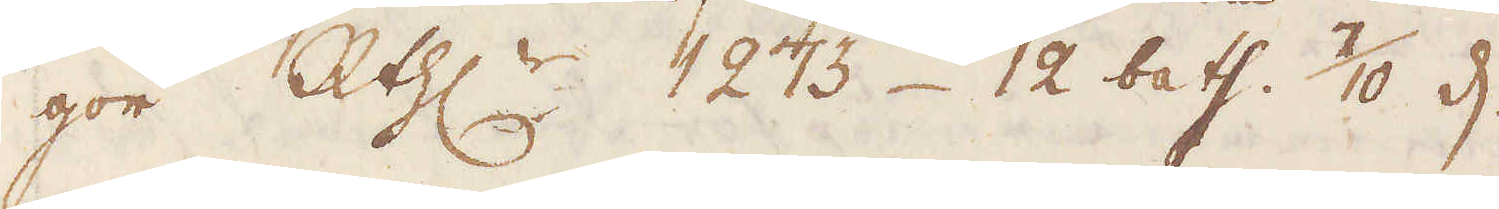gör R:thr 1273 12 bath. 7/10 d.
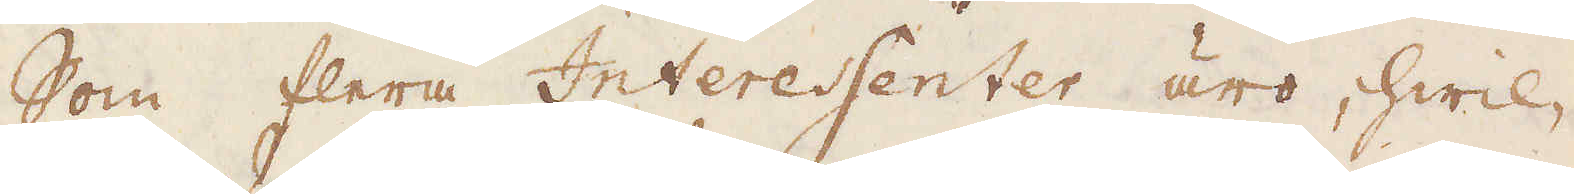Som flera Interessenter äro, hwil-
